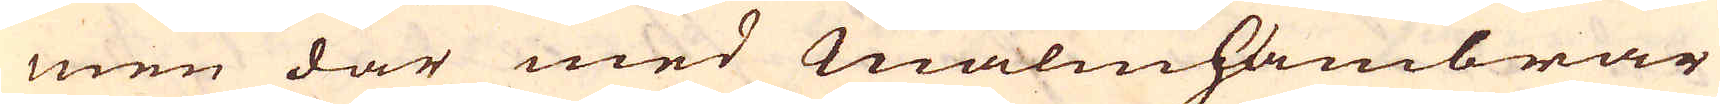men där med Malmhambrar
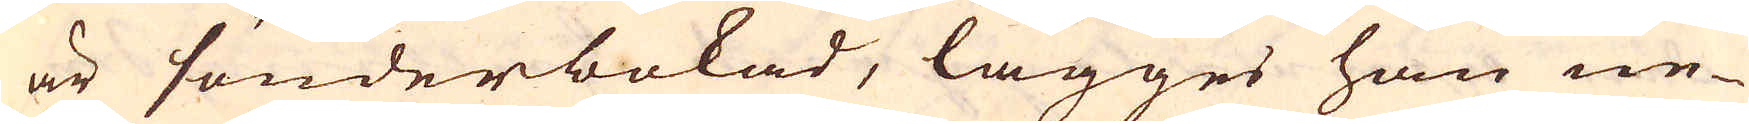är sönderbokad, lägges han ne-
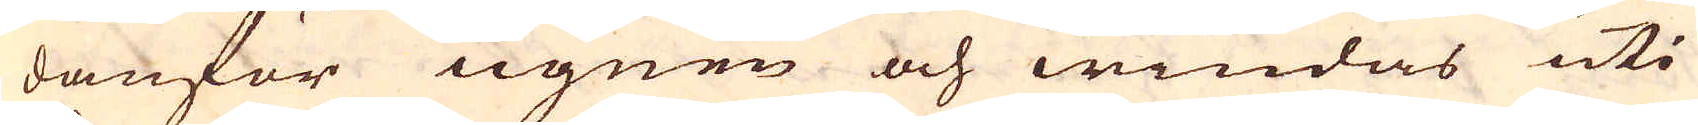danför ugnen och windas uti
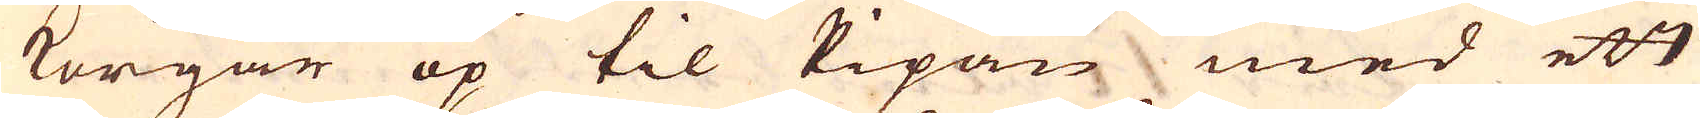korgar op til Pipan med ett
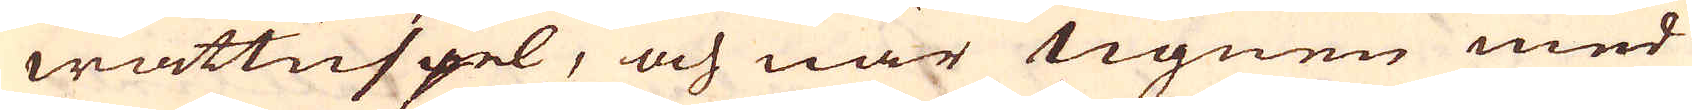wattuspel, och när Ugnen med
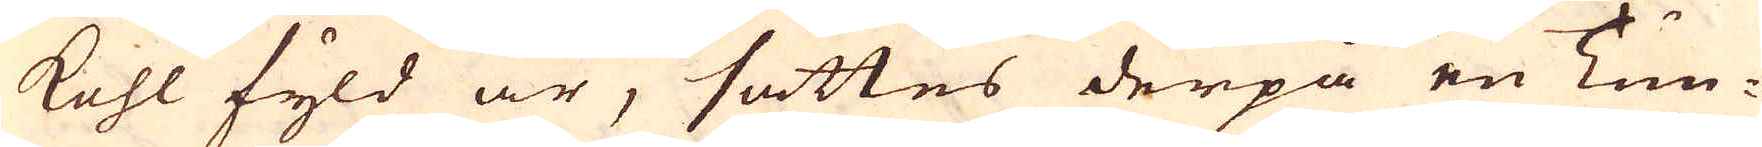kohl fyld är, sättes derpå en Tun-
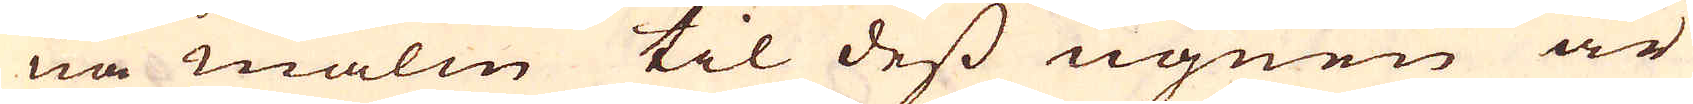na malm til dess ugnen är
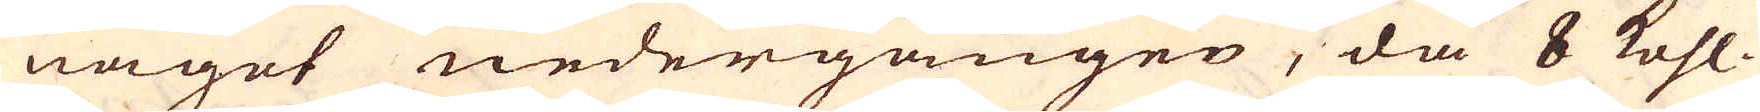något nedergången, då 8 kohl-
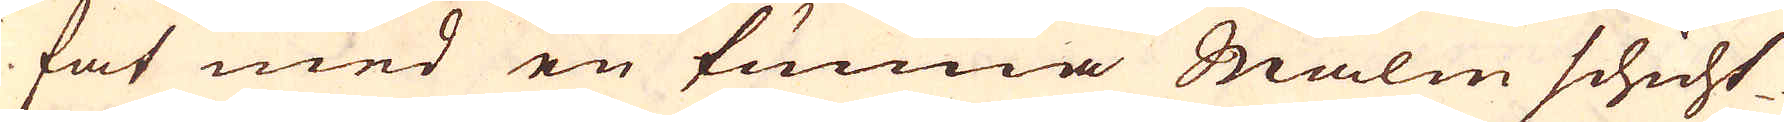fat med en tunna Malm schicht-
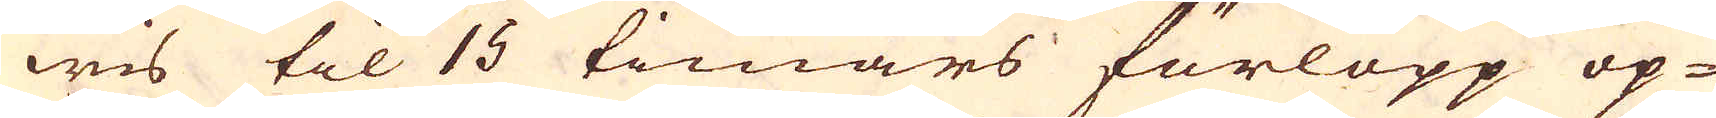wis til 15 timars förlopp op-
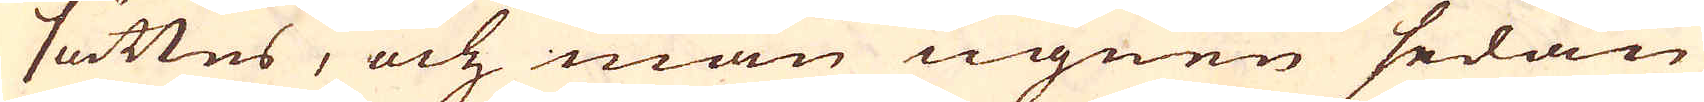sättes, och man ugnen sedan
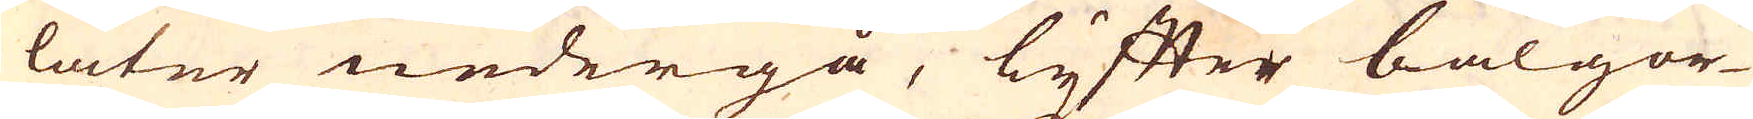låter nedergå, lyffter bälgor-
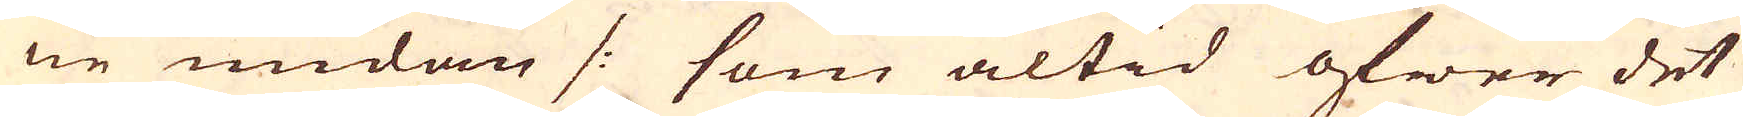ne undan /: som altid öfwer det
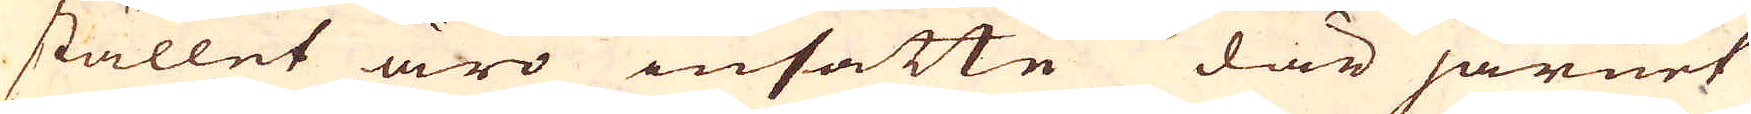stället äro insatte där järnet
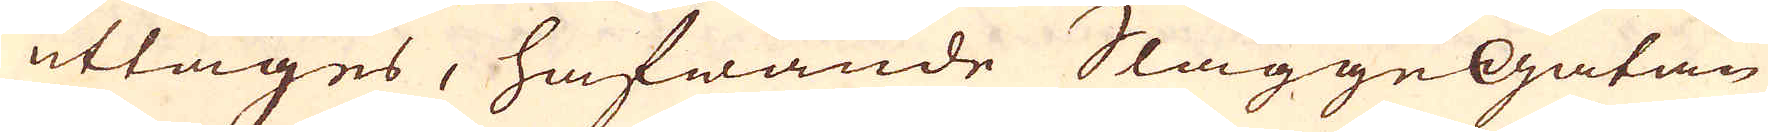uttages, hafwande Slagge Gatan
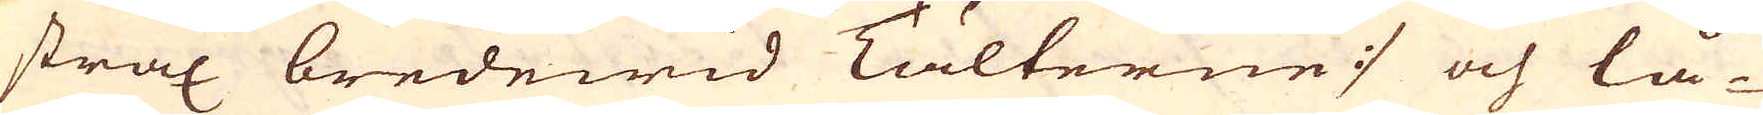strax bredewid Tälterne :/ och lå-
